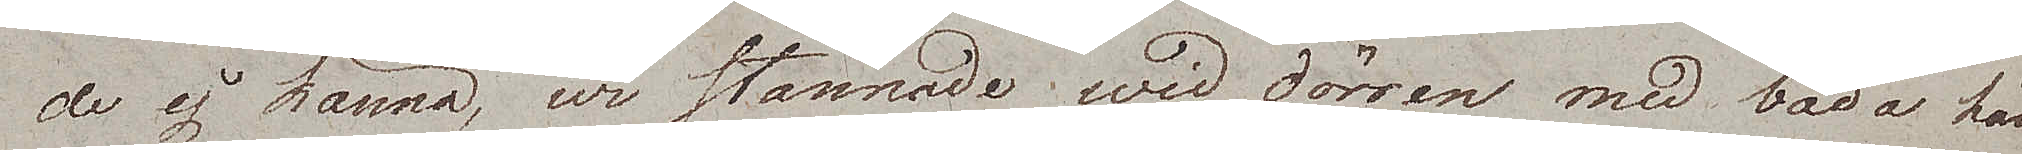de ej känna, wi stannade wid dörren med båda hän¬
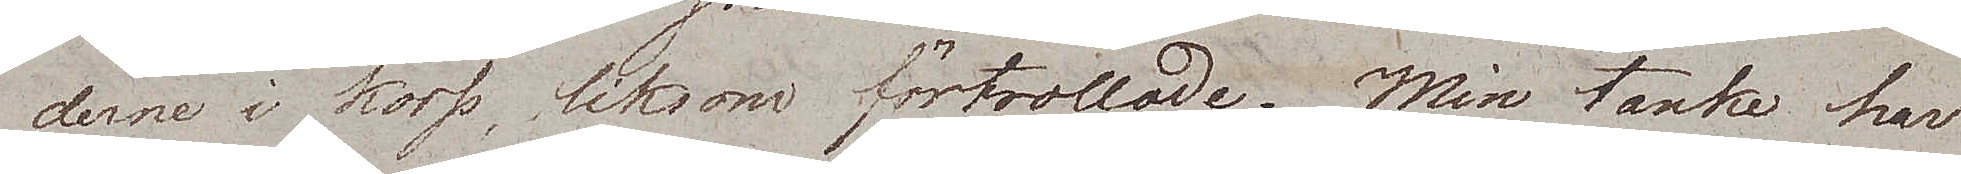derne i kors, liksom förtrollade. Min tanke har
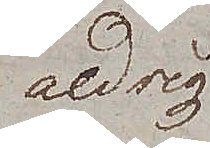aldrig
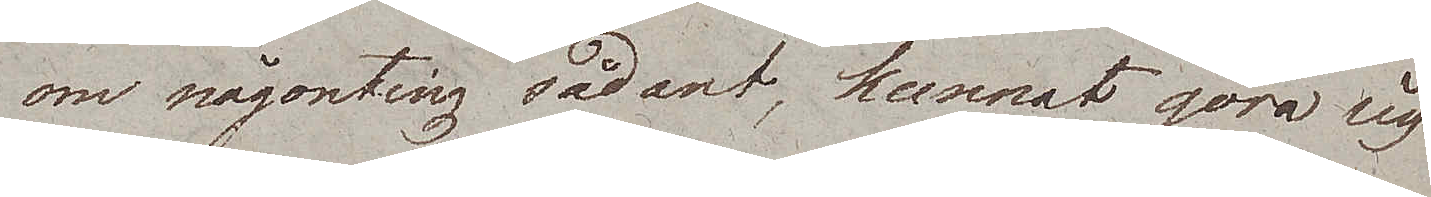om någonting sådant, kunnat göra sig
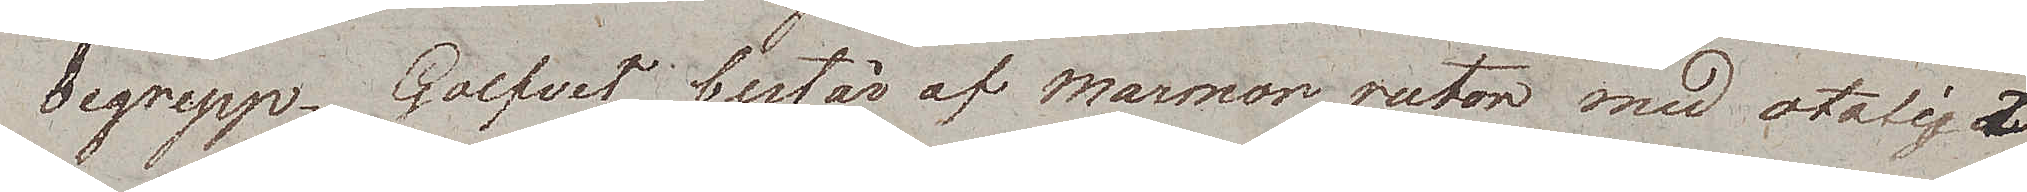begrepp. Golfvet består af marmorrutor med otaliga
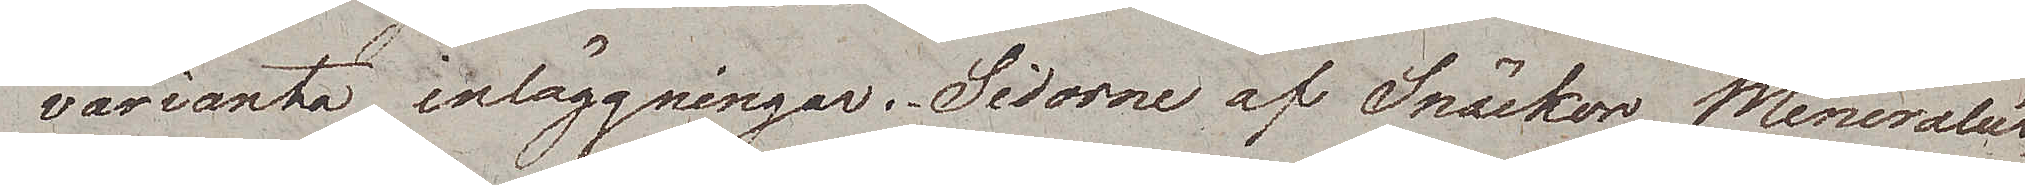varianta inläggningar. Sidorne af Snäckor, Mineralier,
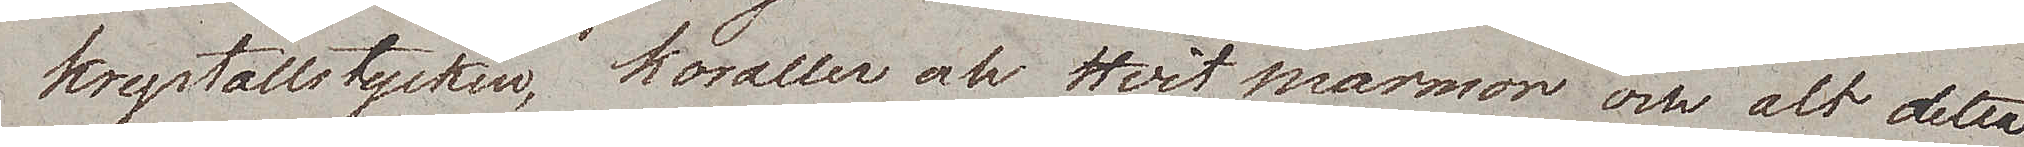krystallstycken, koraller och hvit marmor och alt detta
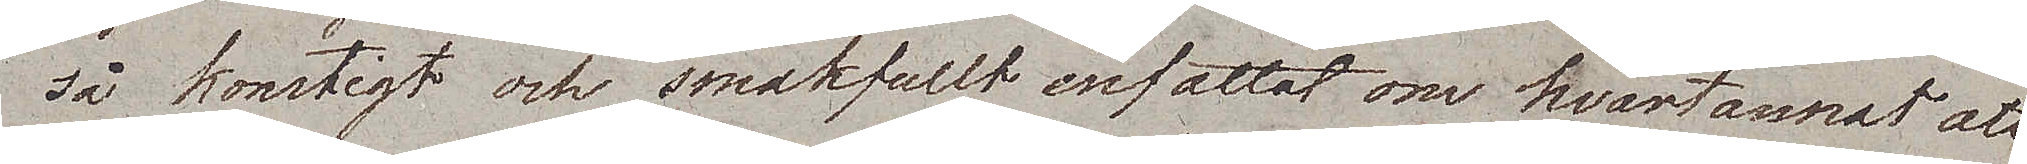så konstigt och smakfullt infattat om hvartannat att
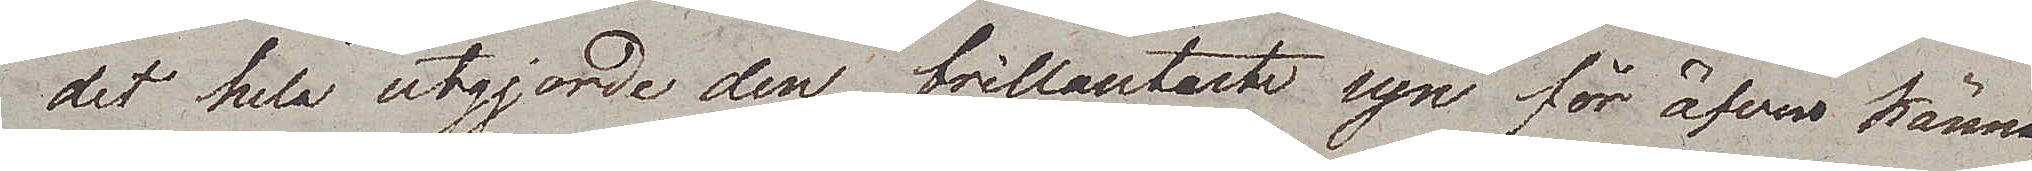det hela utgjorde den brillantaste syn för äfven känna¬
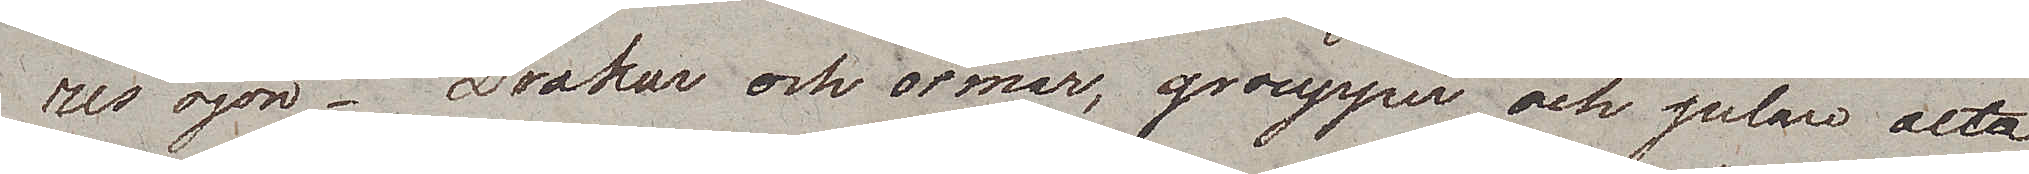rens ögon. Drakar och ormar, groupper och pelare alla
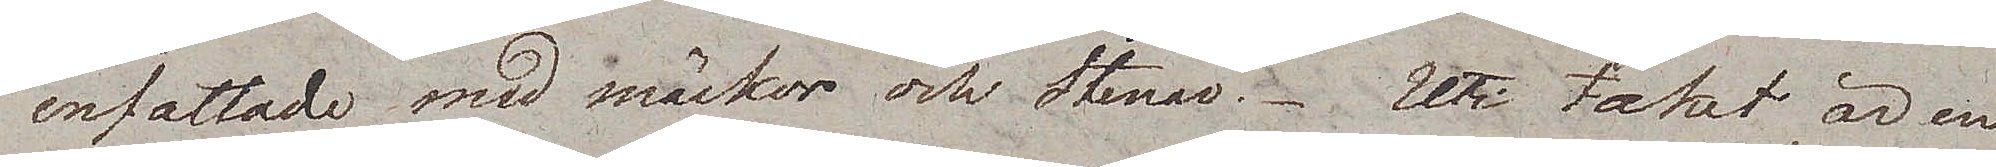infattade med snäckor och Stenar. Uti taket är en
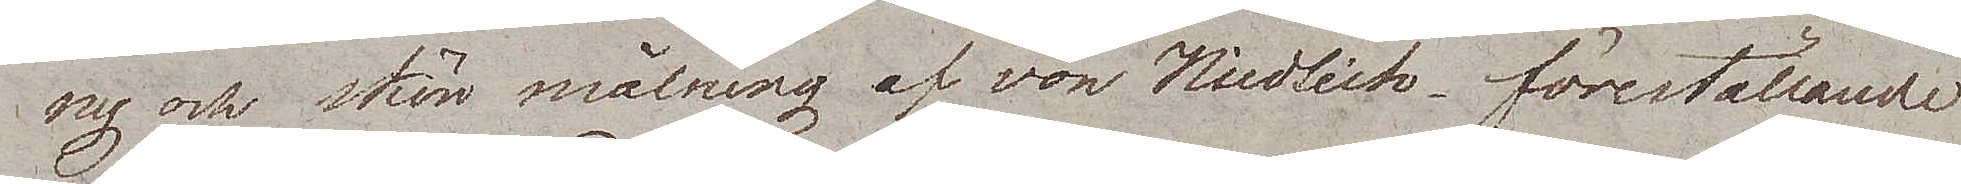ny och skön målning af von Nidlich, föreställande
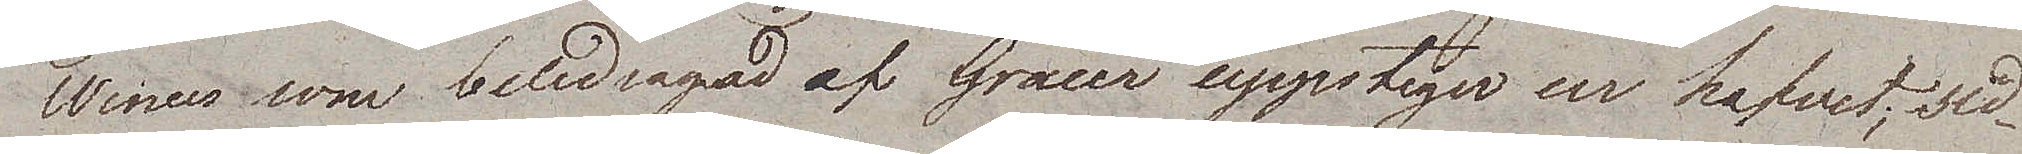Wenus som beledsagad af Gracer uppstiger ur hafvet; sid¬
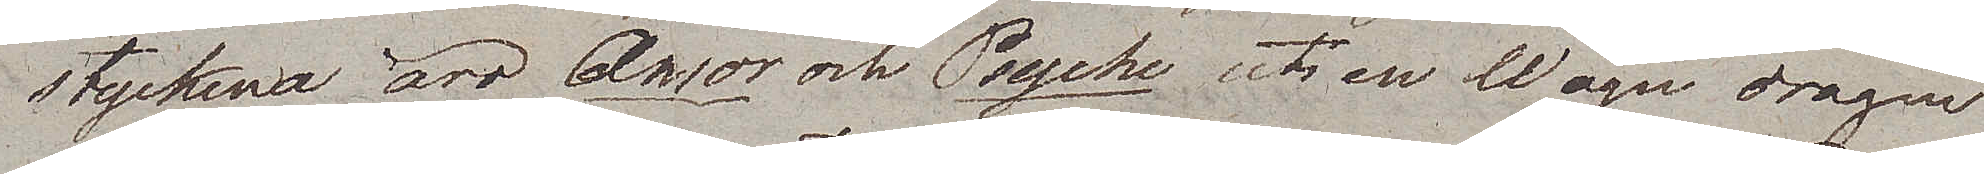styckena äro Amor och Psyche uti en Wagn dragen
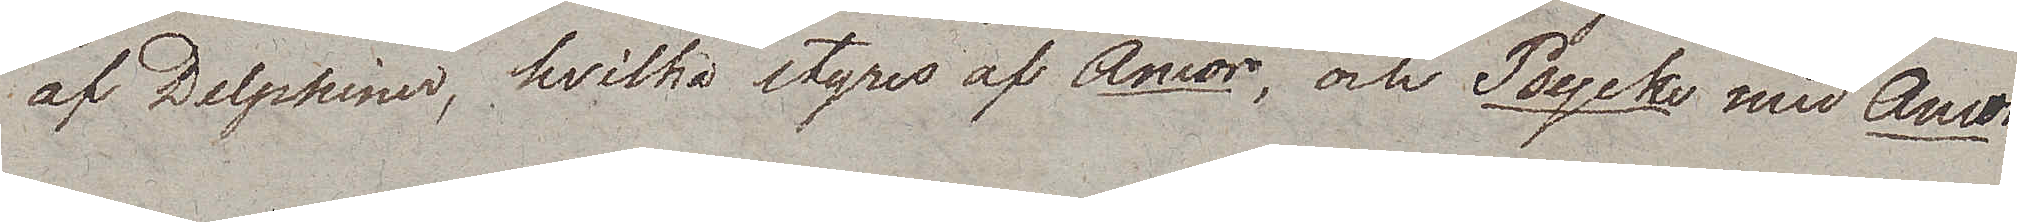af Delphiner, hvilka styres af Amor, och Psyche med Amor
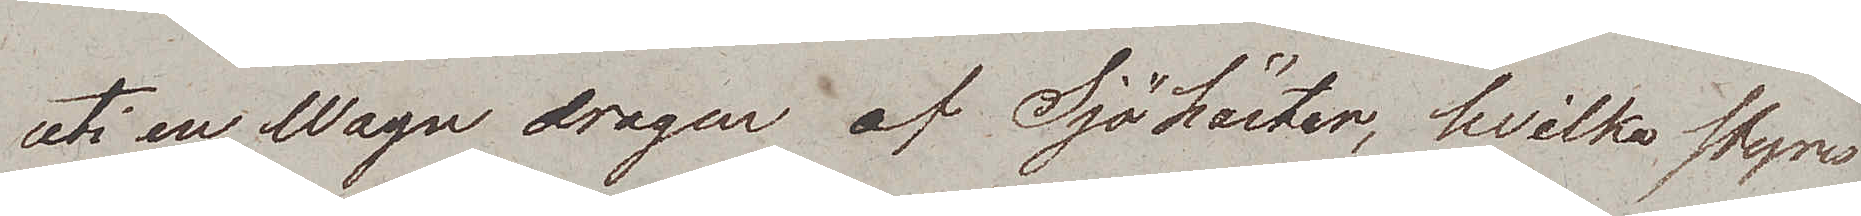uti en Wagn dragen af Sjöhästar, hvilka styres
